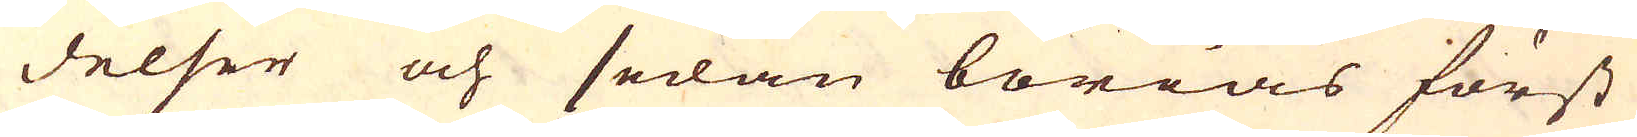delser och sedan börias först
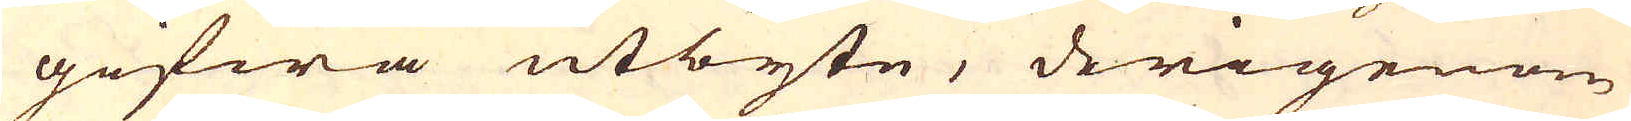gifwa utbyte, derigenom
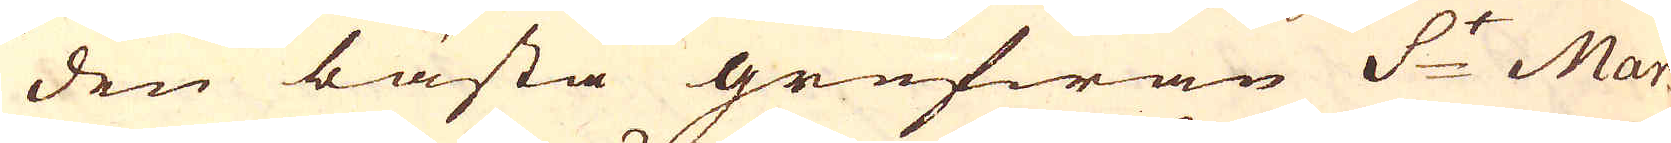den bästa grufwan S:t Mar-
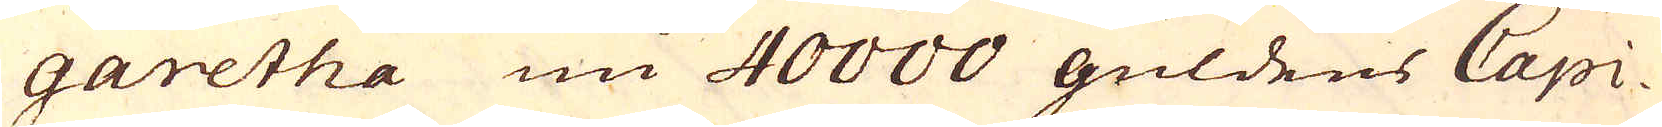garetha nu 40000 guldens Capi-
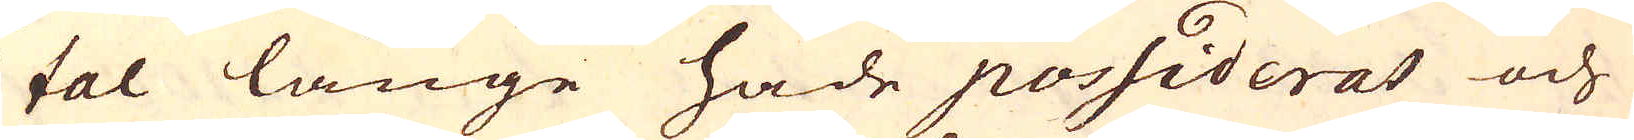tal länge hade possiderat och
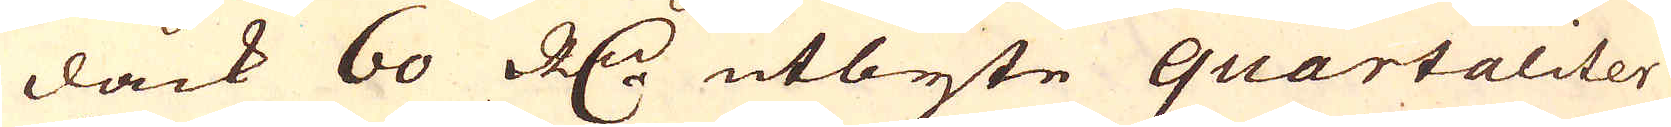dåck 60 R:dr utbyte quartaliter
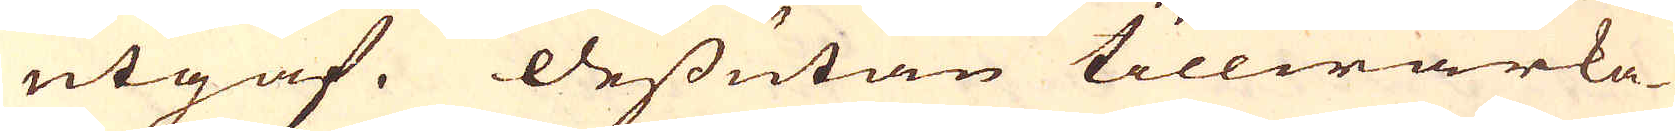utgaf. Dessutan tillwärka-
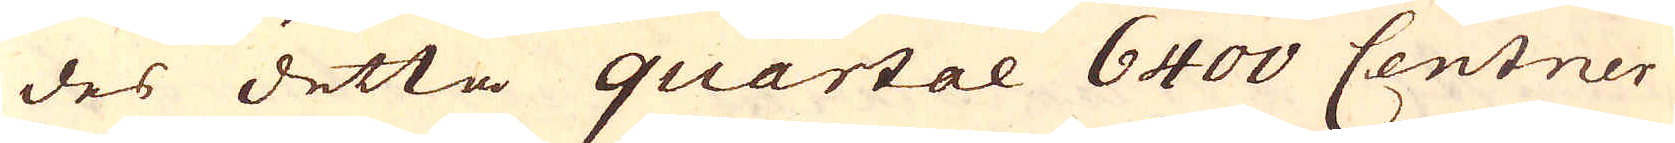des detta quartal 6400 Centner
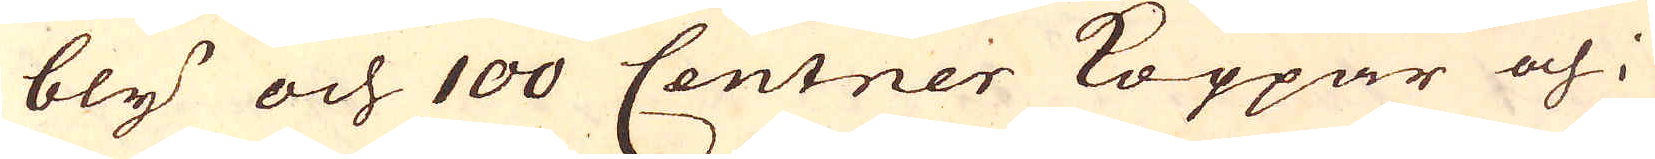bly och 100 Centner Koppar och i
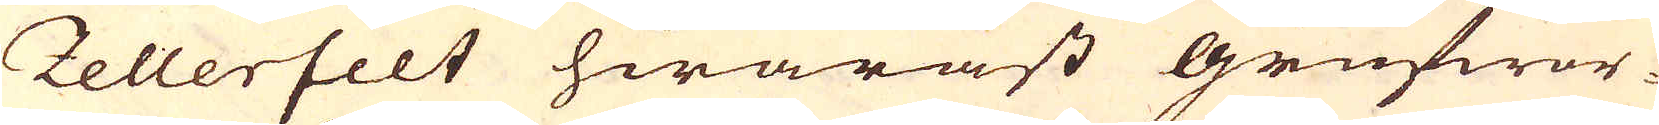Zellerfelt hwaräst Grufwor-
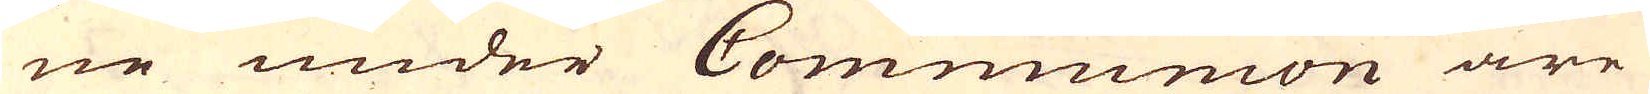ne under Communion äre
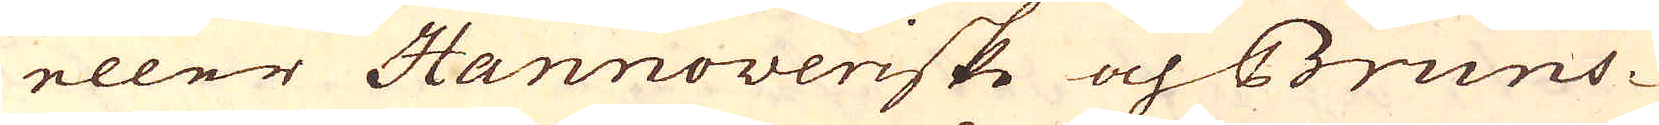eller Hannoveriske och Bruns-
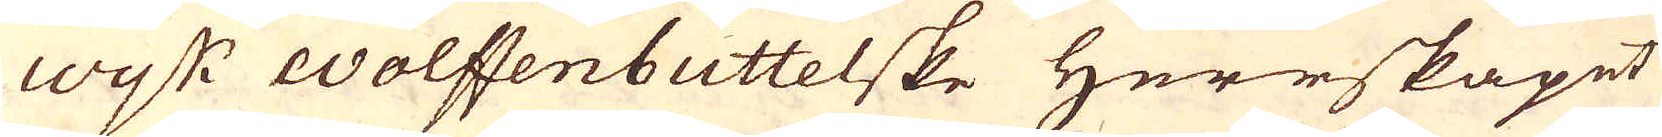Wijk Wolffenbuttelske Herrskapet
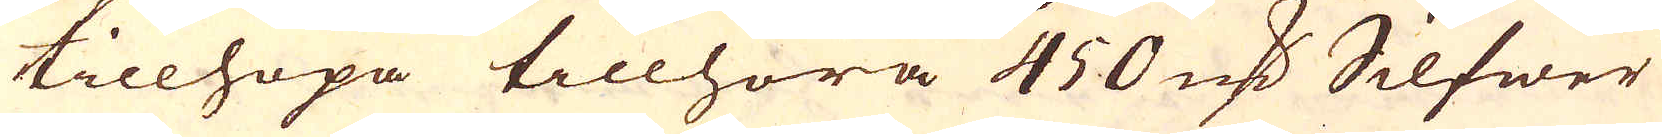tillhopa tillhöra 450 marker Silfwer
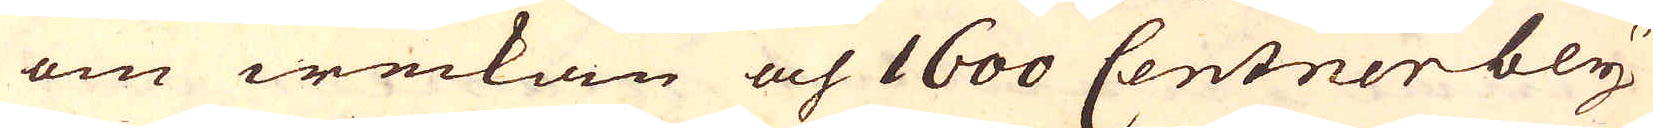om weckan och 1600 Centner bly
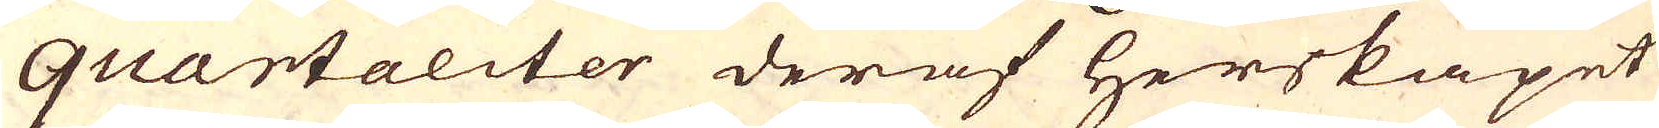quartaliter deraf herskapet
